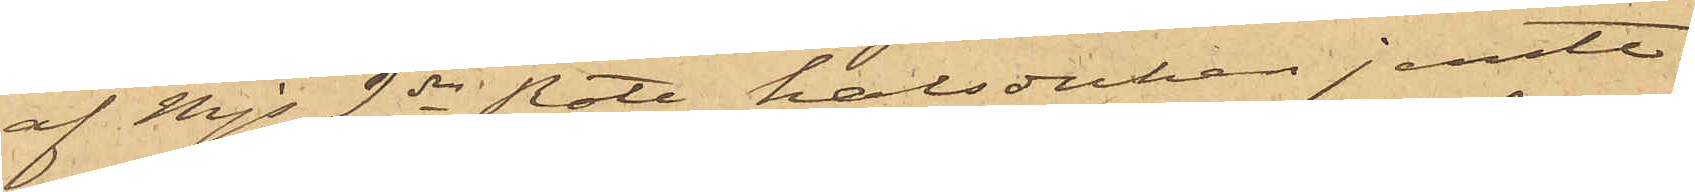af Mjs 2dra Rote, halsduken jemte
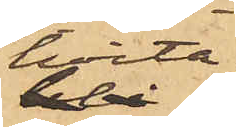hvita
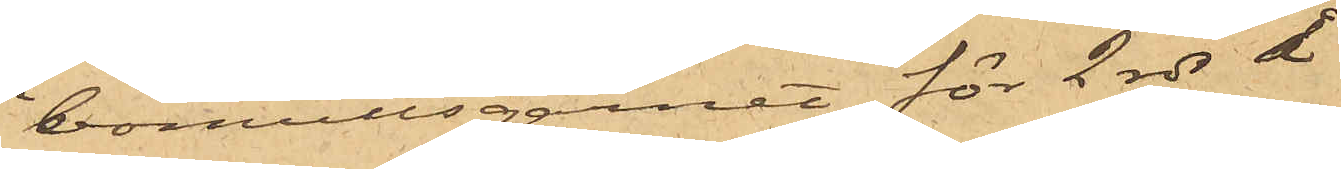bomullsgarnet för 2 rdr å
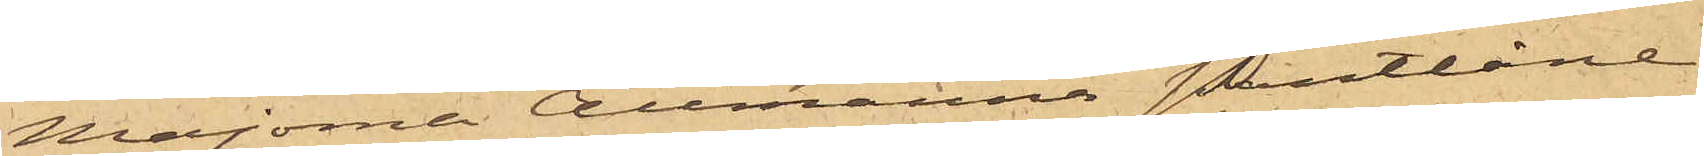Majorna Allmänna Pantlåne
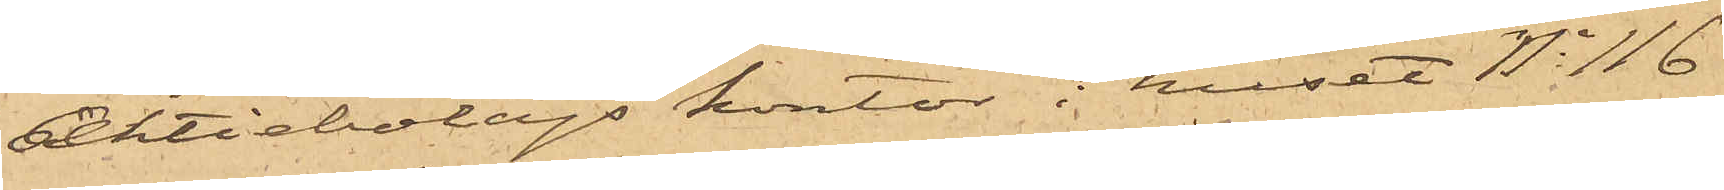Aktiebolags kontor i huset No 116
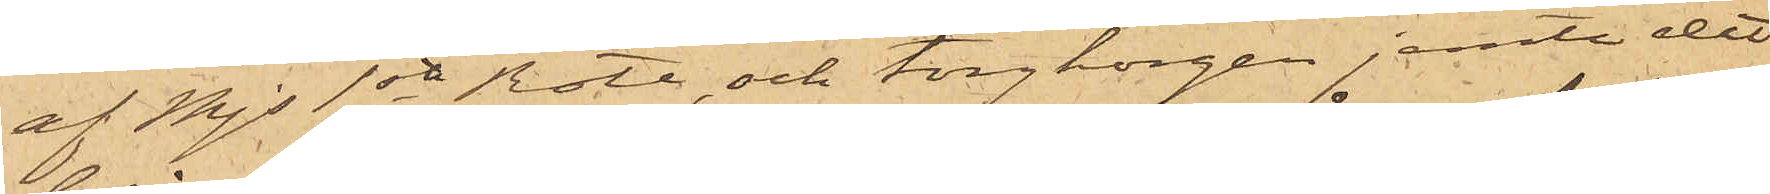af Mjs 1sta Rote, och torgkorgen jemte det
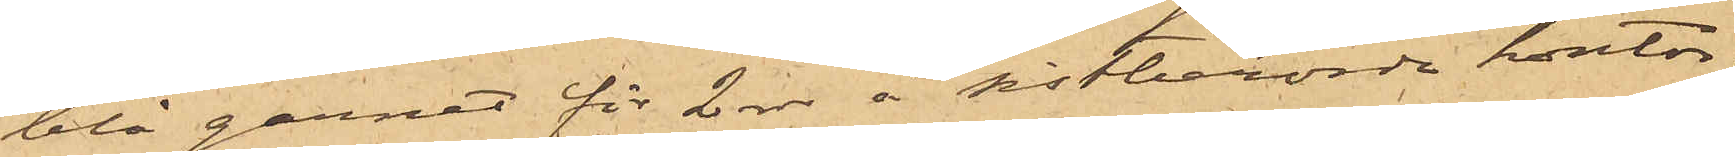blå garnet för 2 rdr å sistberörde kontor;
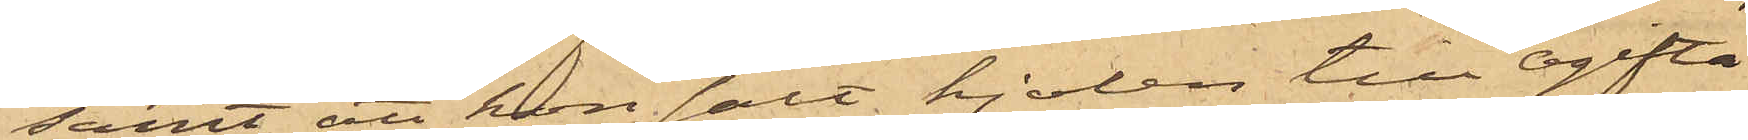samt att hon sålt kjolen till Ogifta
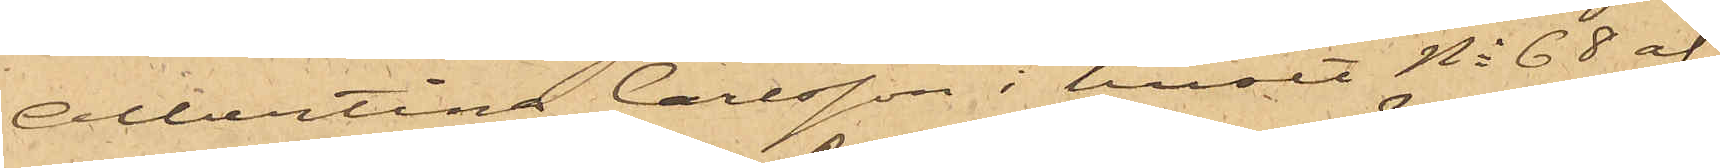Albertina Carlsson i huset No 68 af
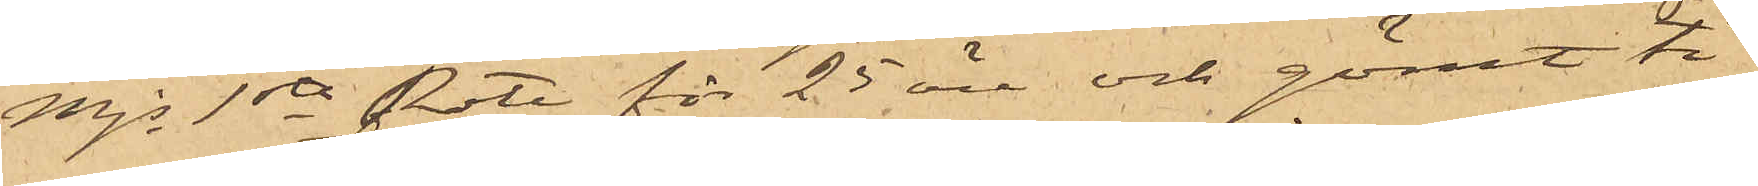Mjs 1sta Rote för 25 öre och gömt ti¬
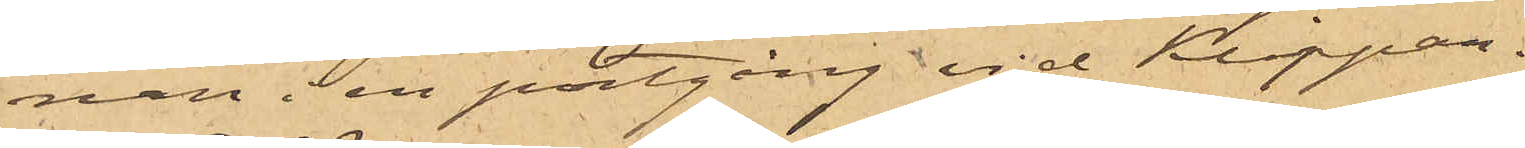nan en portgång vid Klippan.
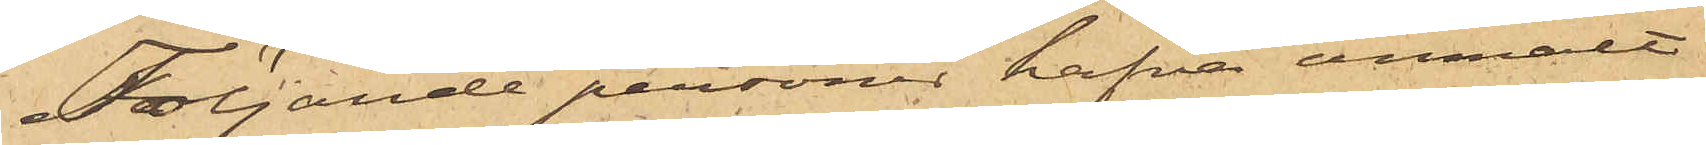Följande personer hafva anmält
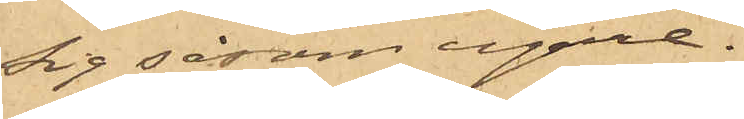sig såsom egare.
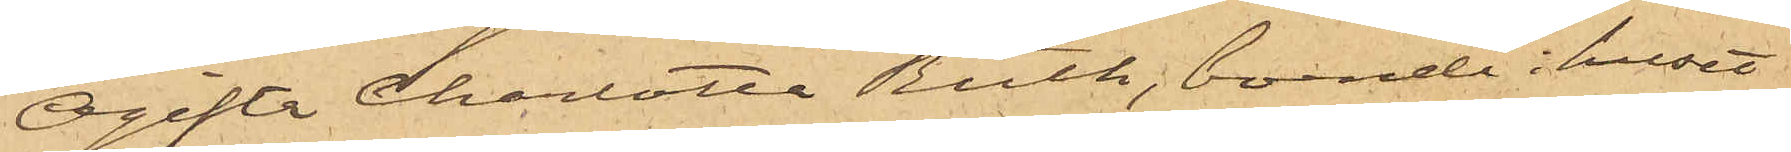Ogifta Charlotta Ruth, boende i huset
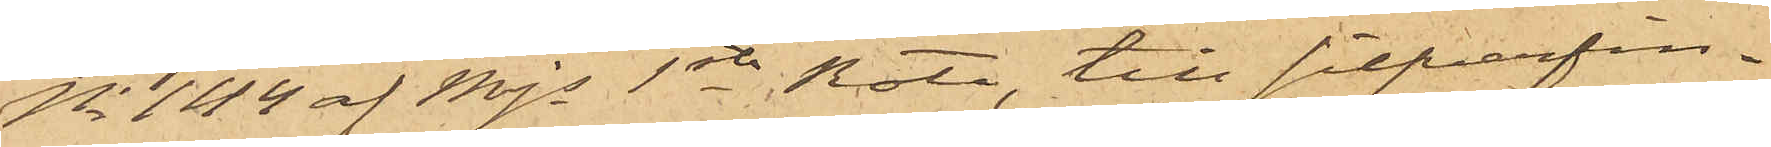No 144 af Mjs 1sta Rote, till silfverfin¬
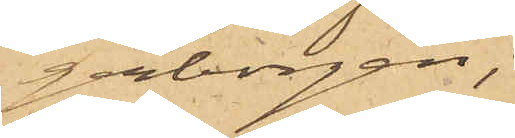gerborgen;
